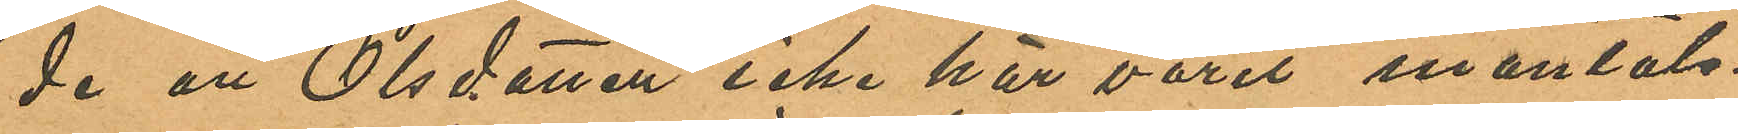de att Olsdotter icke här varit mantals-
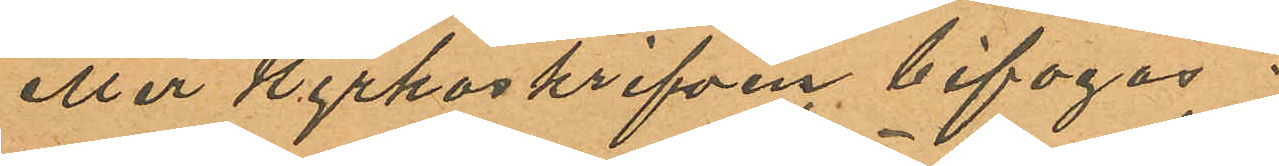eller kyrkoskrifven bifogas.
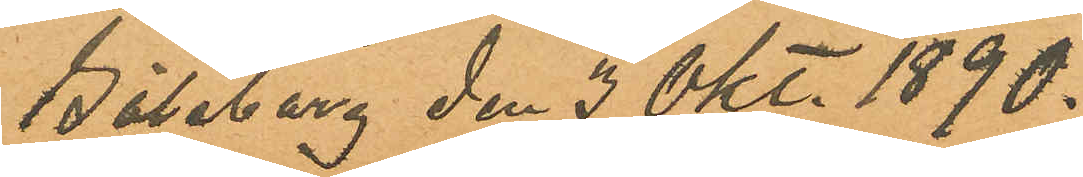Göteborg den 3 Okt. 1890.
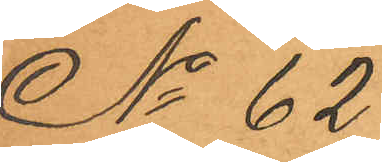No 62
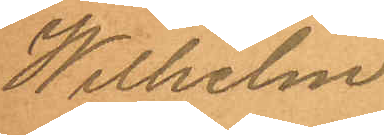Wilhelm
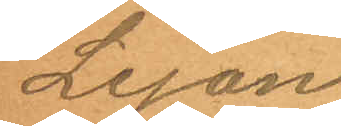Lejon
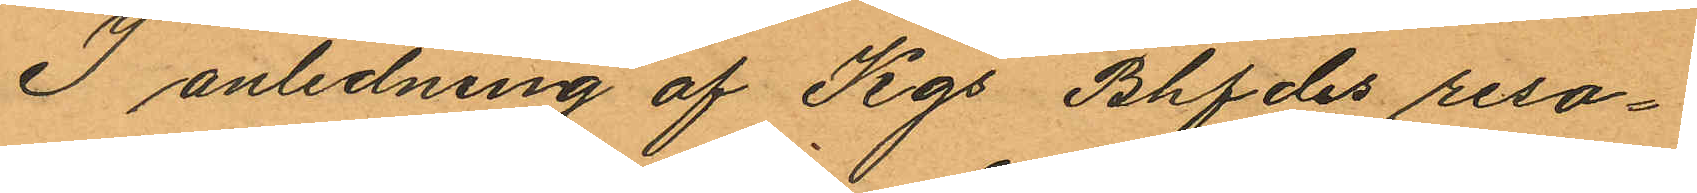I anledning af Kgs Bhfdes reso¬
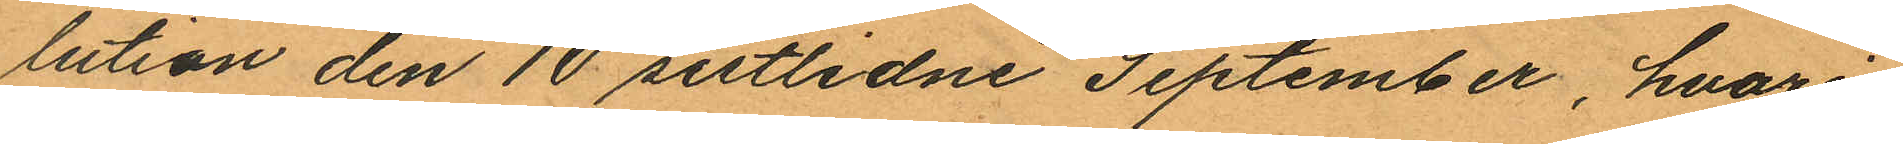lution den 10 sistlidne September, hvari¬
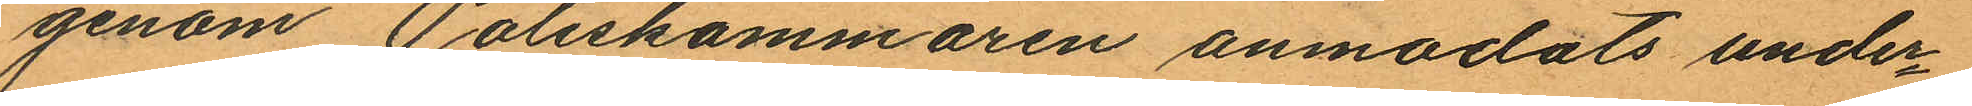genom Poliskammaren anmodats under¬
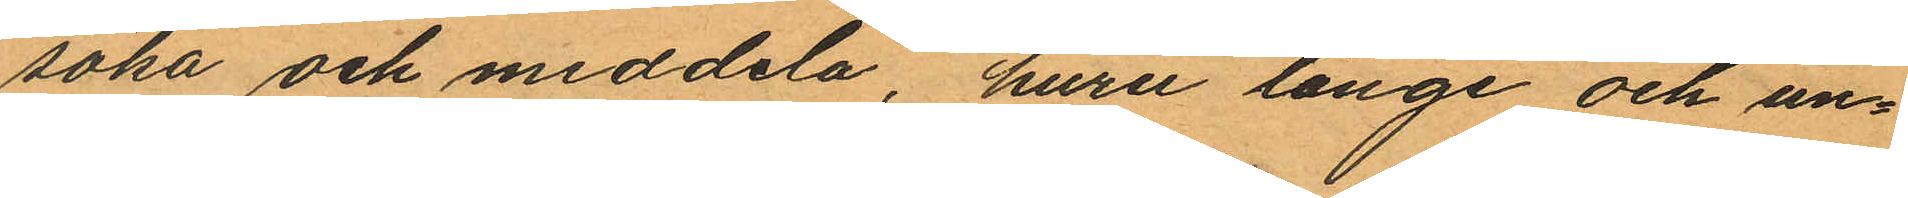söka och meddela, huru länge och un¬
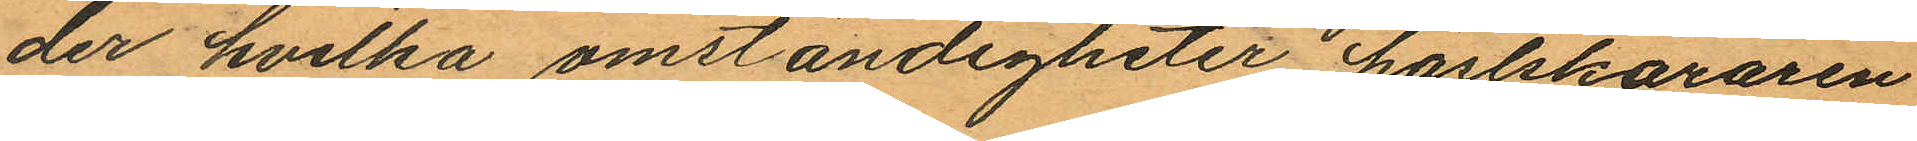der hvilka omständigheter hästköraren
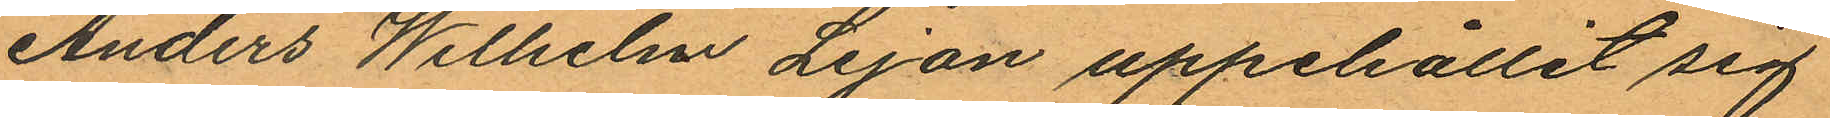Anders Wilhelm Lejon uppehållit sig
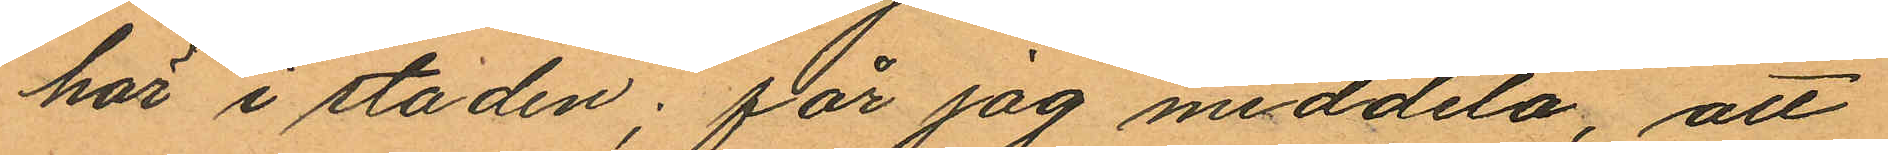här i staden; får jag meddela, att
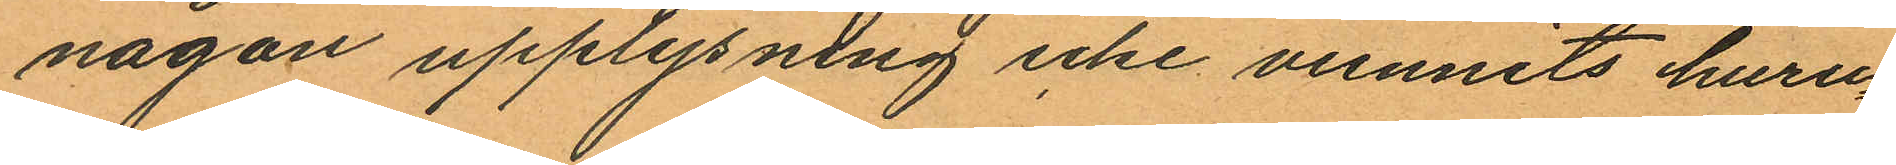någon upplysning icke vunnits huru¬
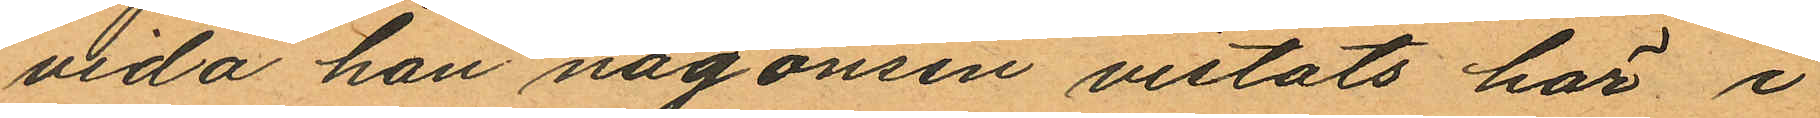vida han någonsin vistats här i
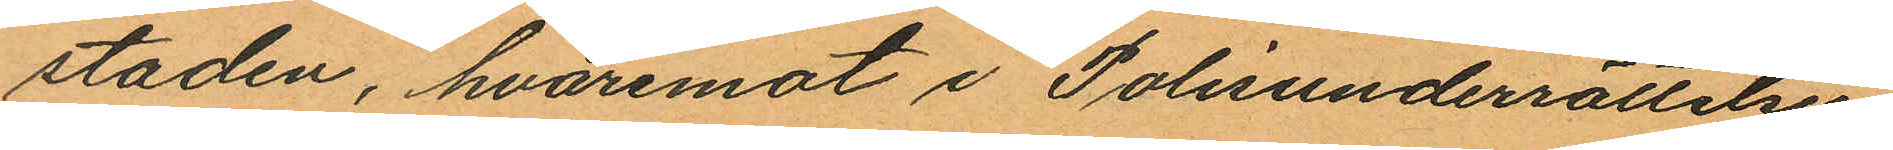staden, hvaremot i Polisunderrättelser
